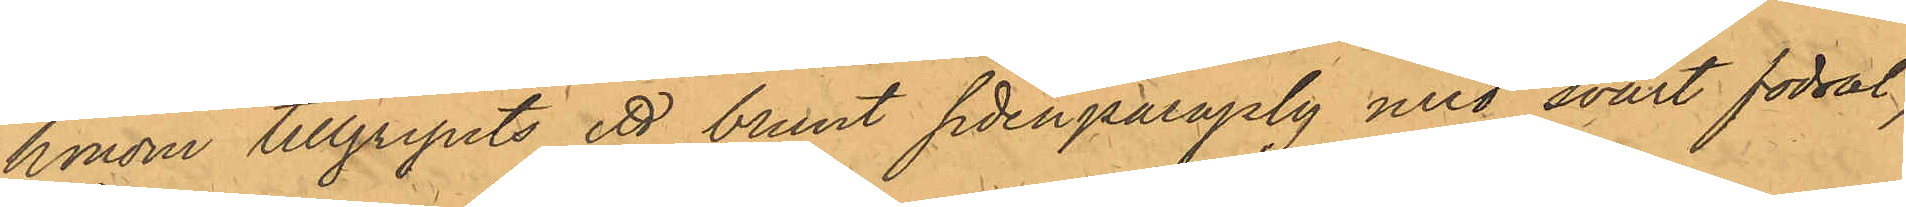honom tillgripits ett brunt sidenparaply med svart fodral,
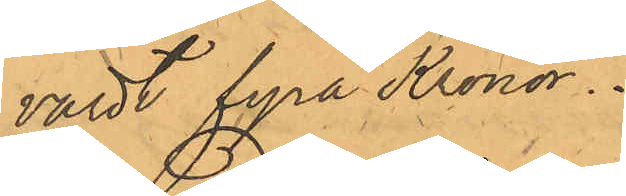värdt fyra Kronor.
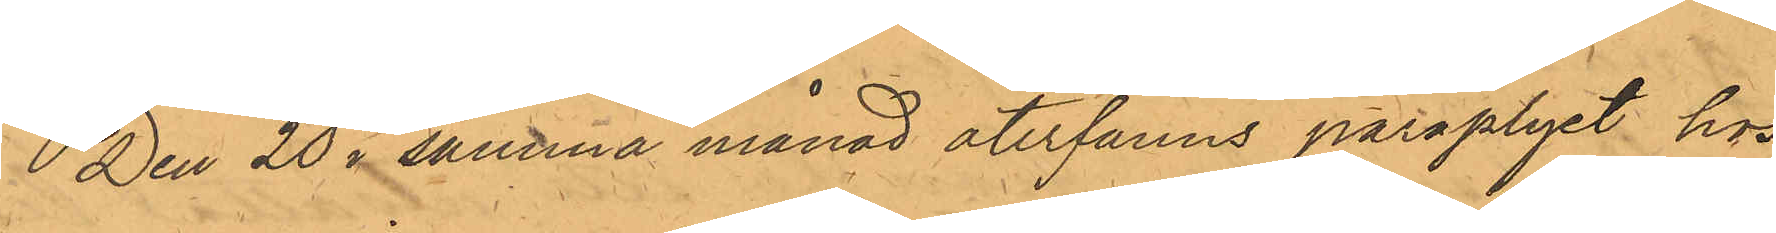Den 20 i samma månad återfanns paraplyet hos
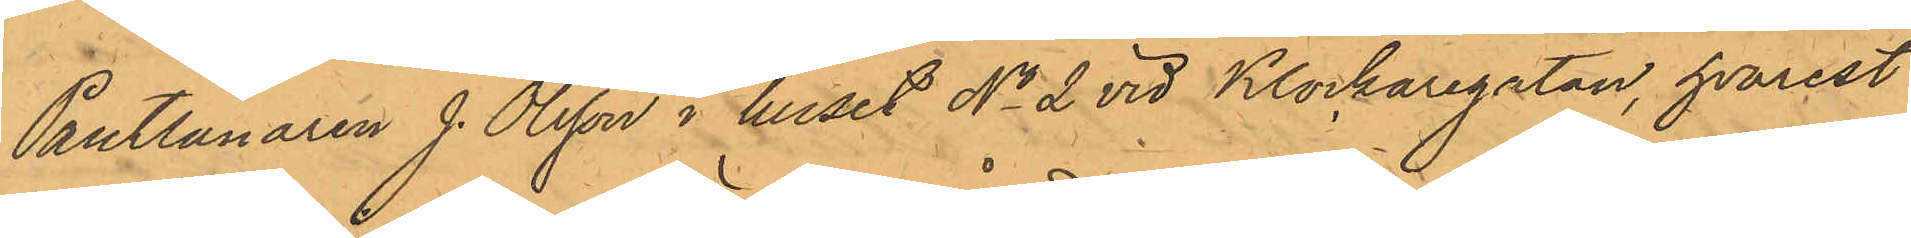Pantlånaren J. Olsson i huset No 2 vid Klockaregatan, hvarest
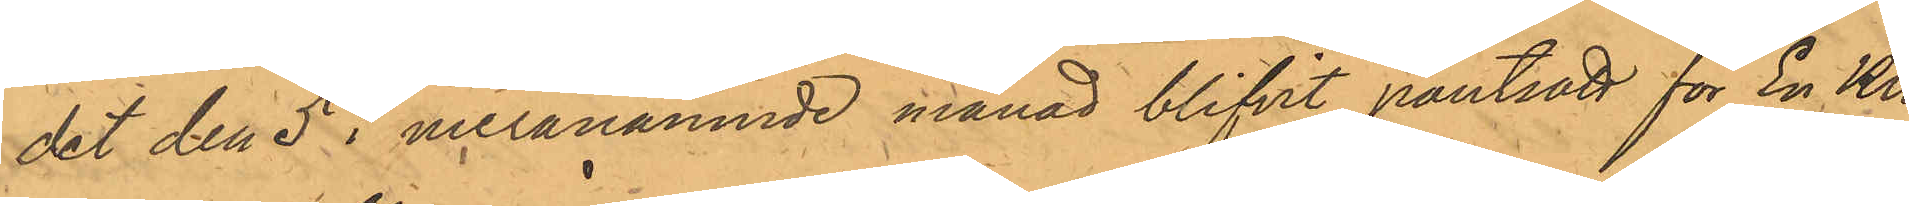det den 5 i meranämnde månad blifvit pantsatt för En Kro¬
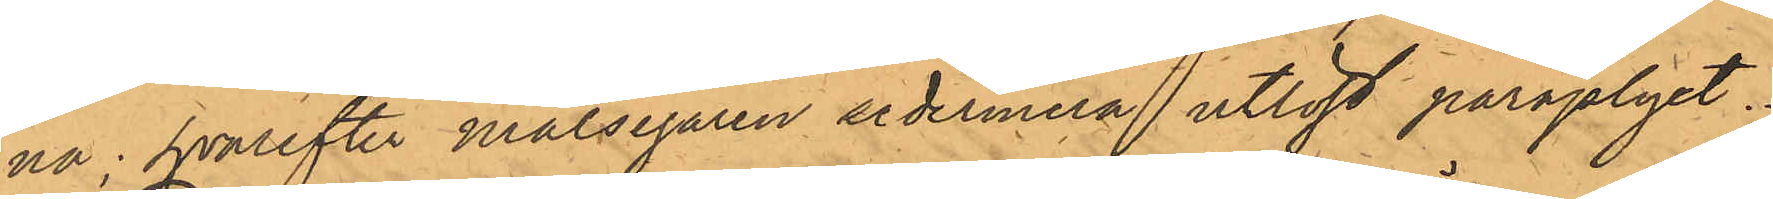na; hvarefter målsegaren sedermera utlöst paraplyet.
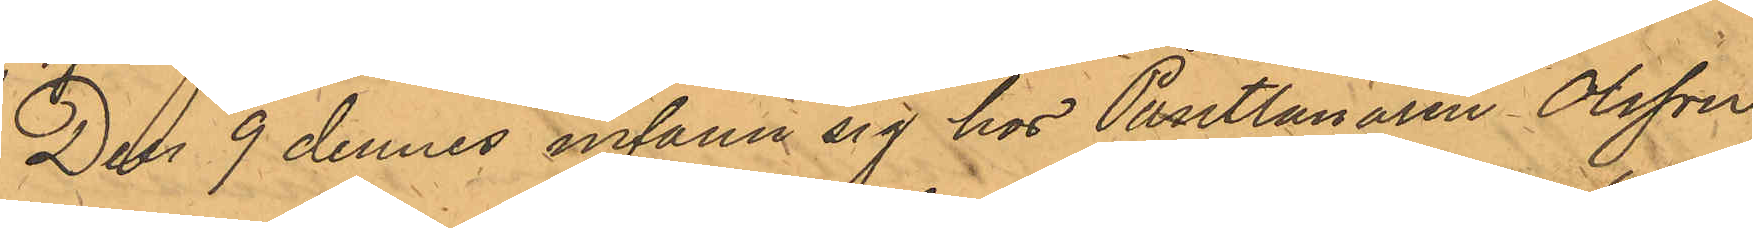Den 9 dennes infann sig hos Pantlånaren Olsson
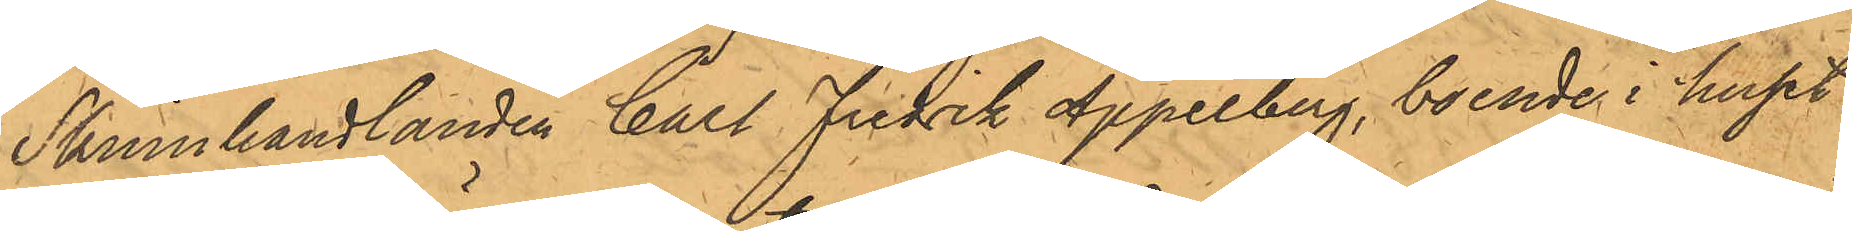Skinnhandlanden Carl Fredrik Appelberg, boende i huset
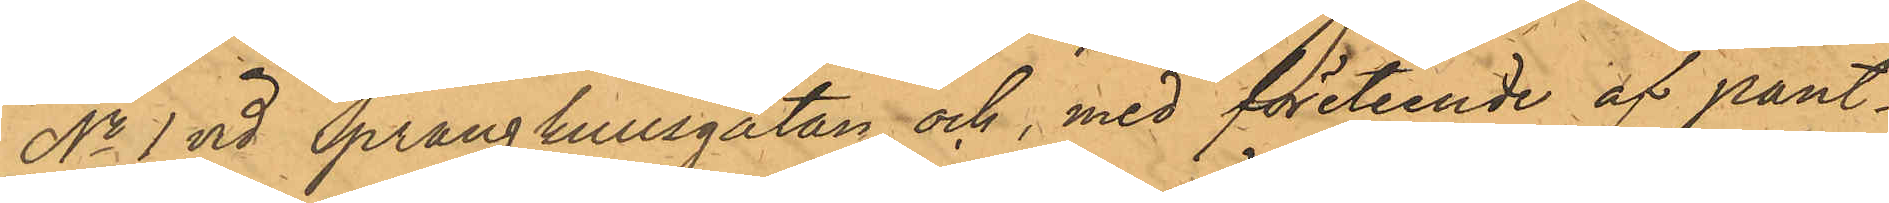No 1 vid Sprängkullsgatan, och, med företeende af pant¬
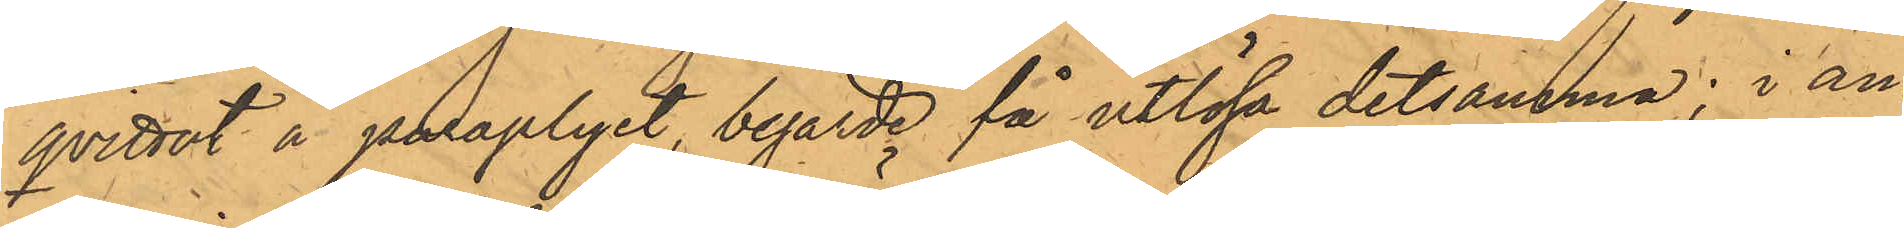qvittot å paraplyet, begärde få utlösa detsamma; i an¬
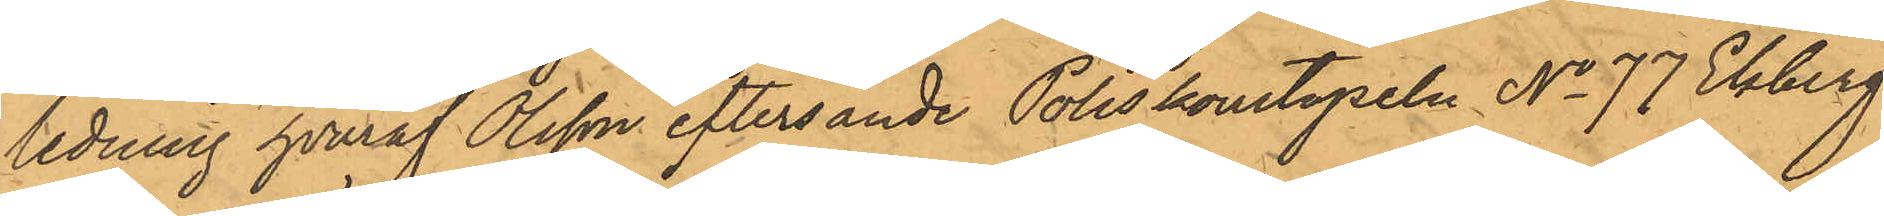ledning hvaraf Olsson eftersände Poliskonstapeln No 77 Ekberg
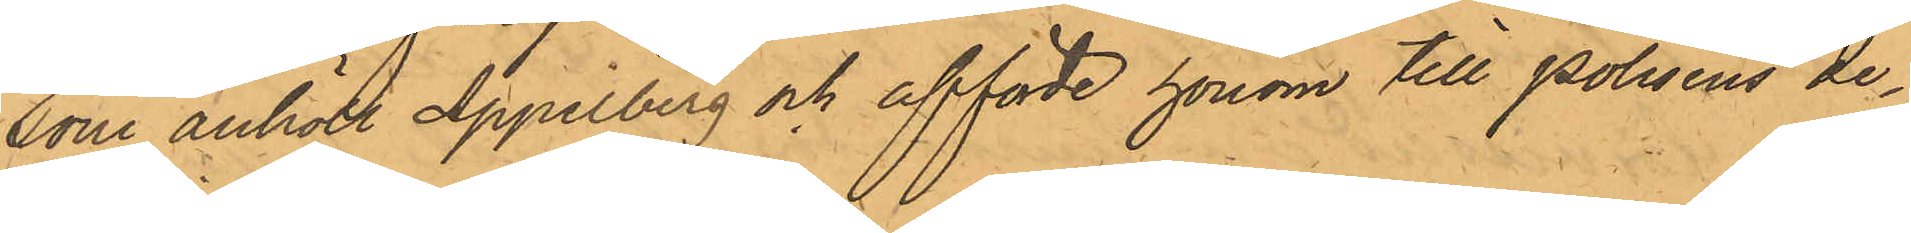som anhöll Appelberg och afförde honom till Polisens de¬
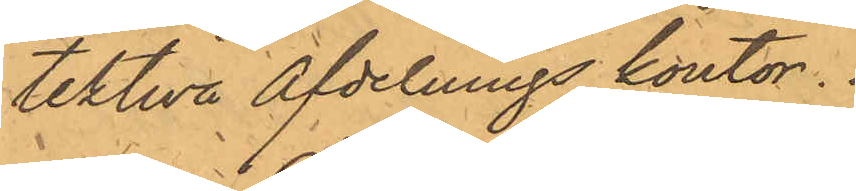tektiva afdelnings kontor.
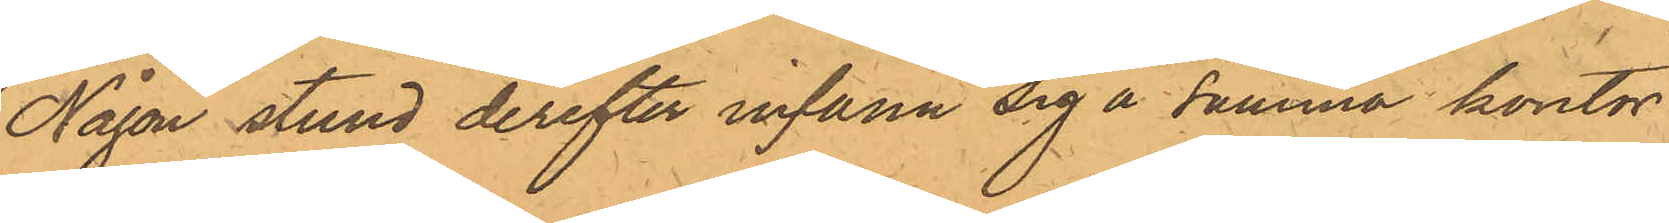Någon stund derefter infann sig å samma kontor
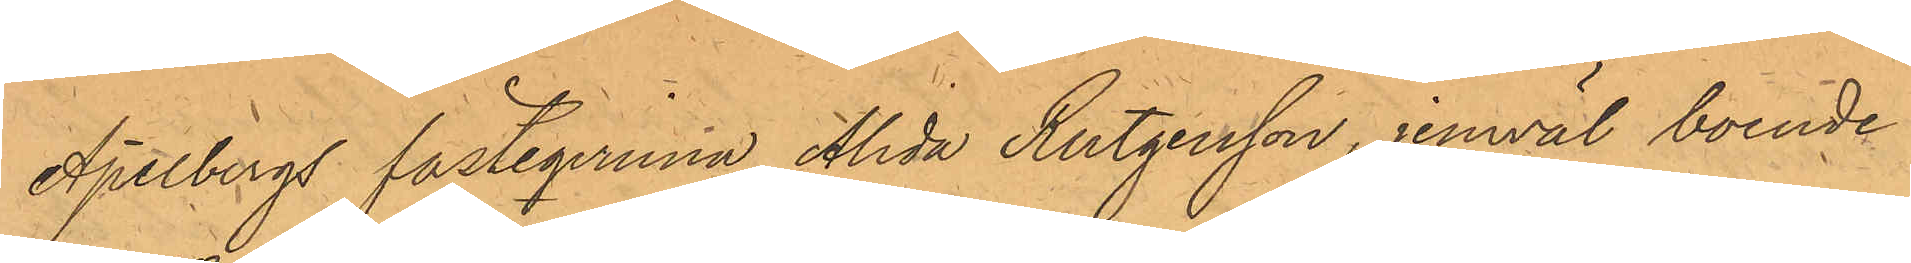Apelbergs fästeqvinna Alida Rutgersson, jemväl boende i
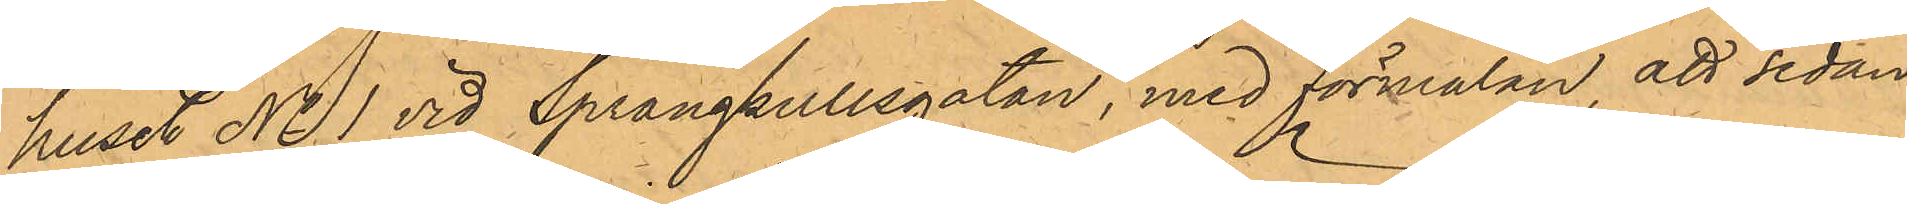huset No 1 vid Sprängkullsgatan, med förmälan, att sedan
